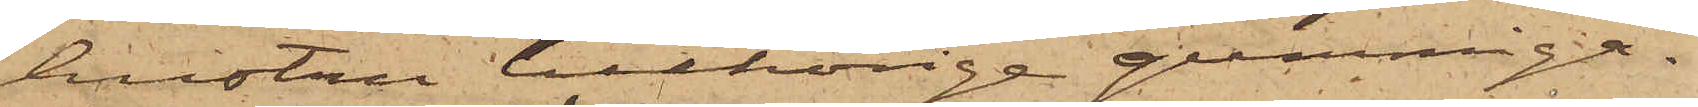hustru tillhörige gummiga¬
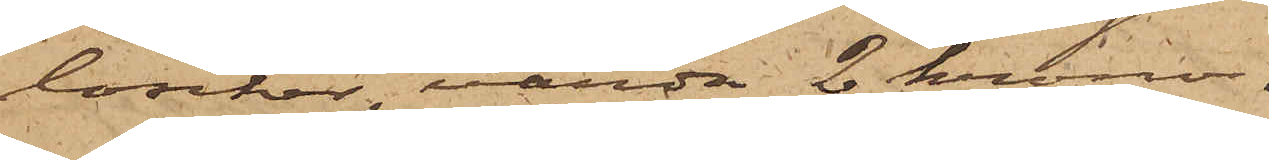loscher, värda 2 kronor.
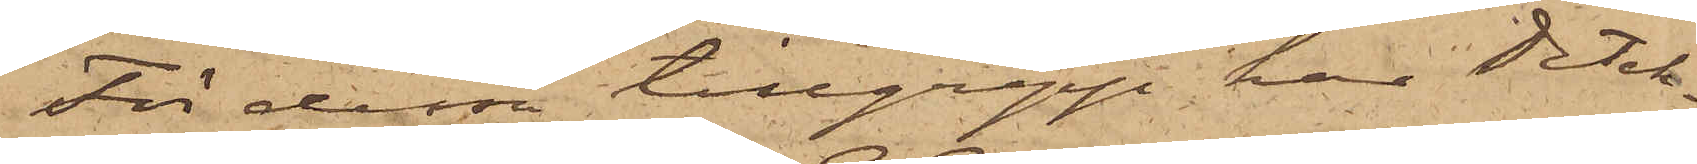För dessa tillgrepp har Detek¬
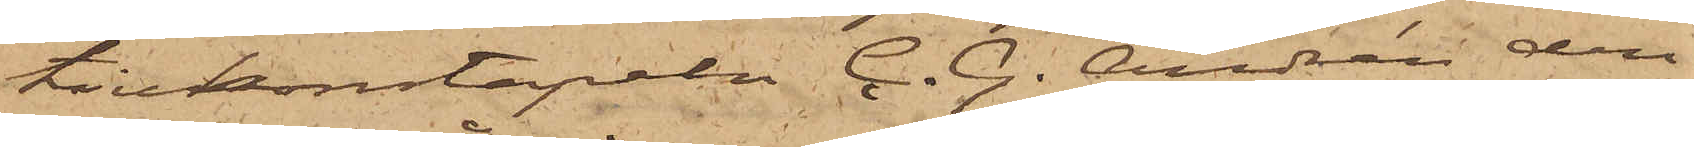tivkonstapeln C. G. Andrén den
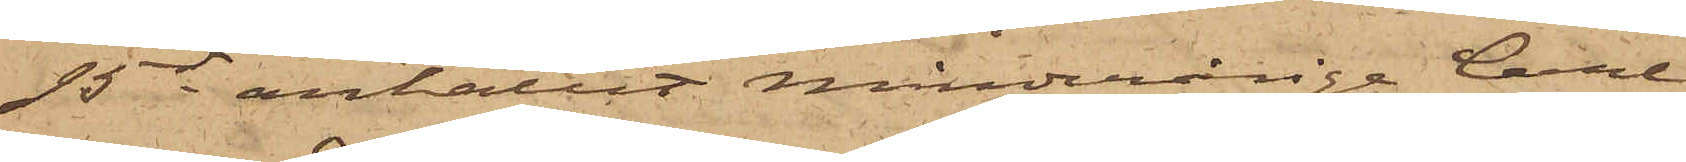15 ds anhållit minderårige Carl
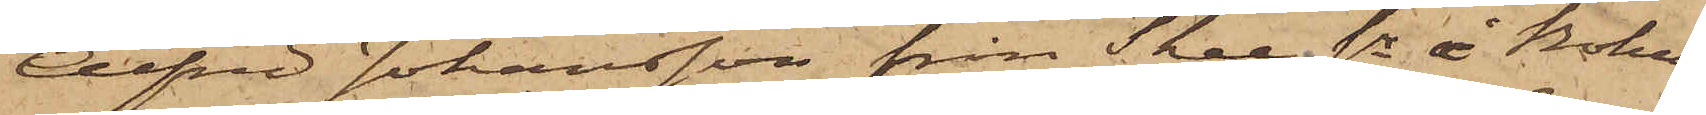Alfred Johansson från Skee sn i Bohus
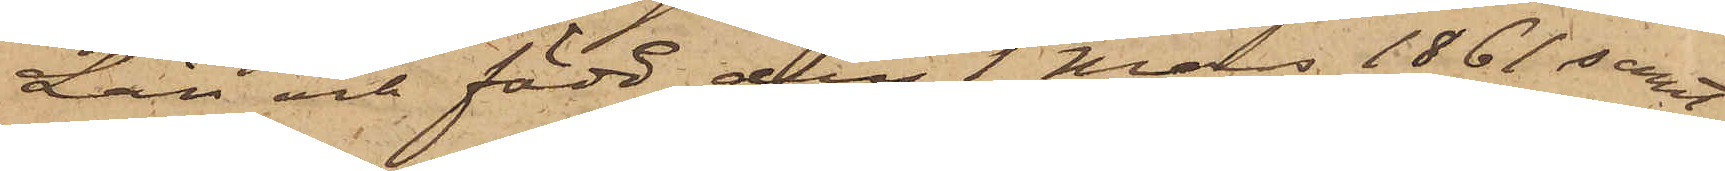Län och född den 1 Mars 1861 samt
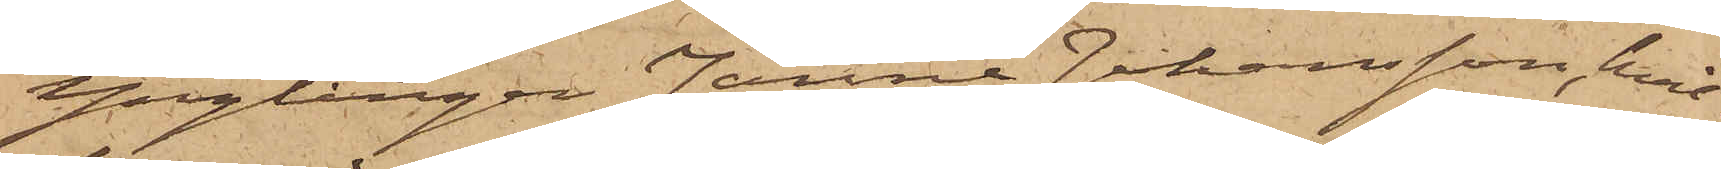Ynglingen Janne Johansson, hvil¬
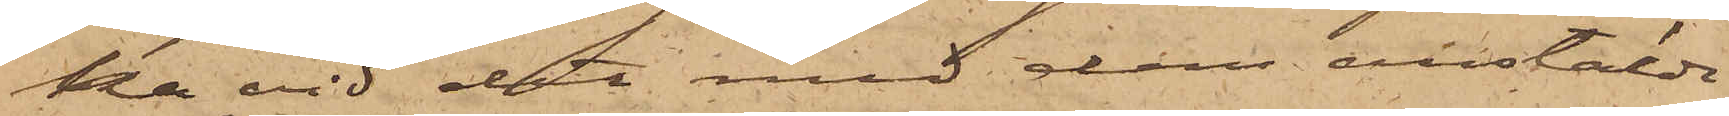ka vid det med dem anstälda
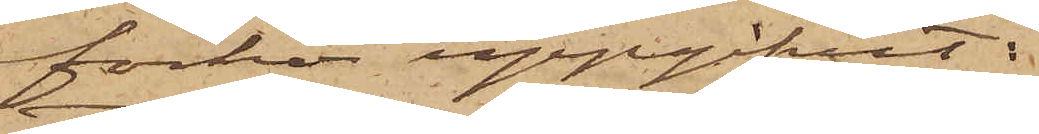förhör uppgifvit:
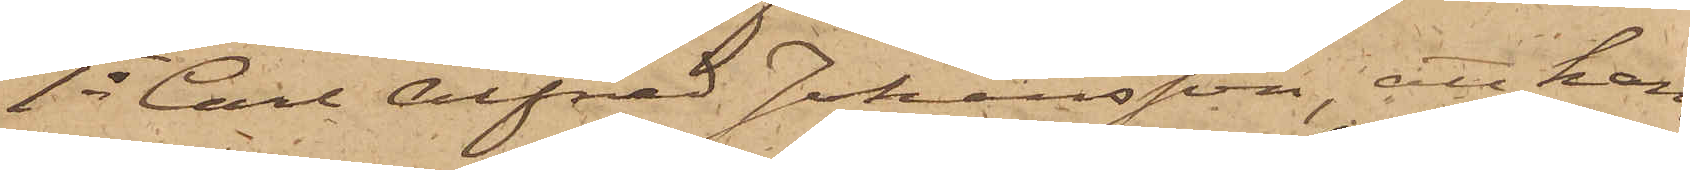1o Carl Alfred Johansson, att han,
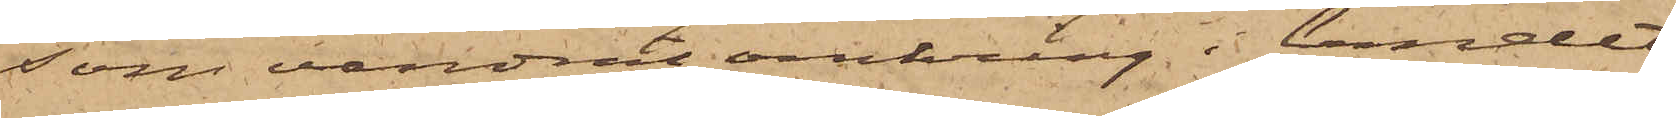som vandrat omkring i landet
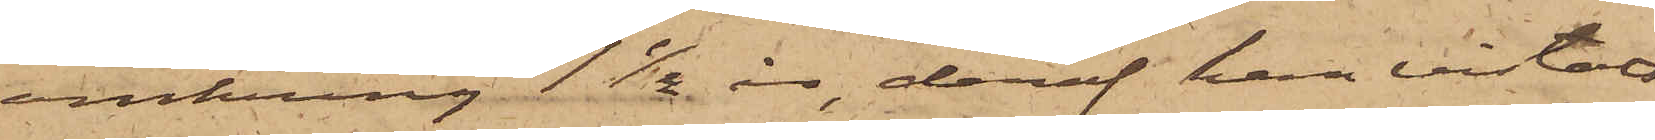omkring 1 1/2 år, deraf han vistats
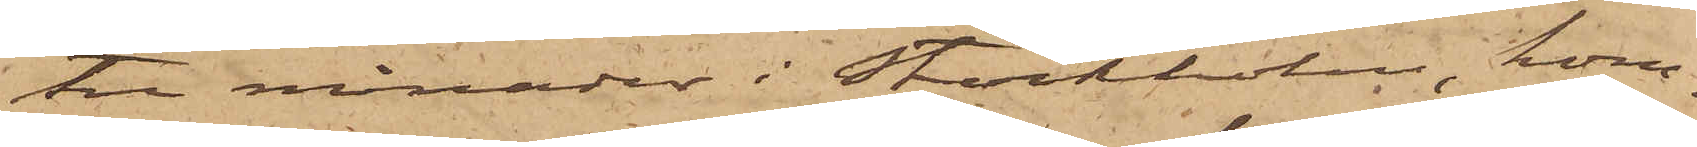tre månader i Stockholm, kom¬
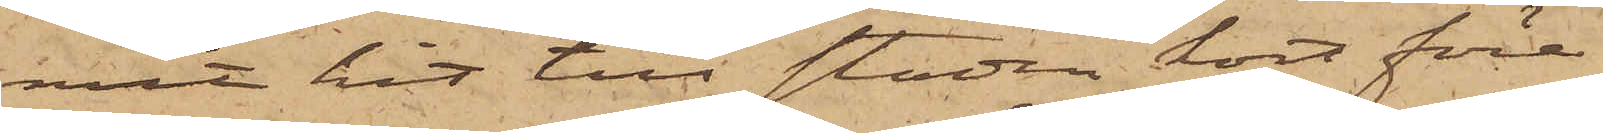mit hit till staden kort före
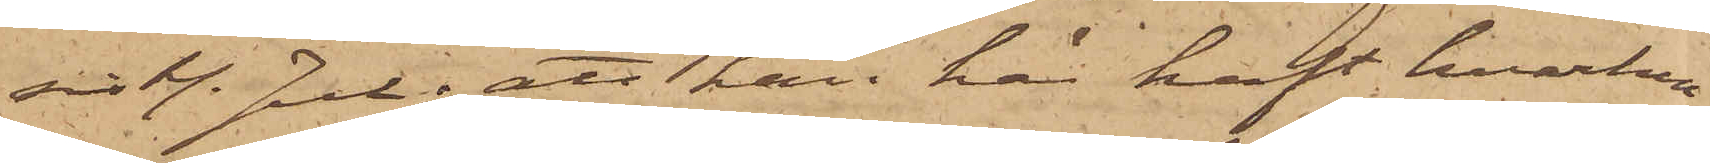sistl. Jul; att han här haft hvarken
